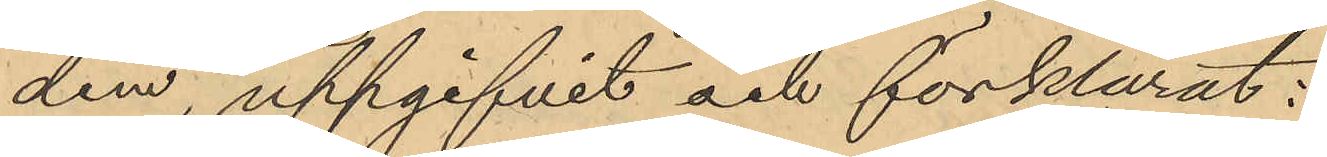dem, uppgifvit och förklarat:
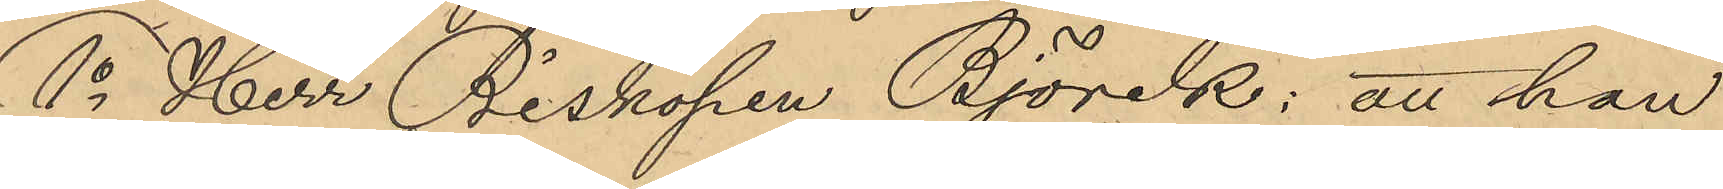1o Herr Biskopen Björk: att han
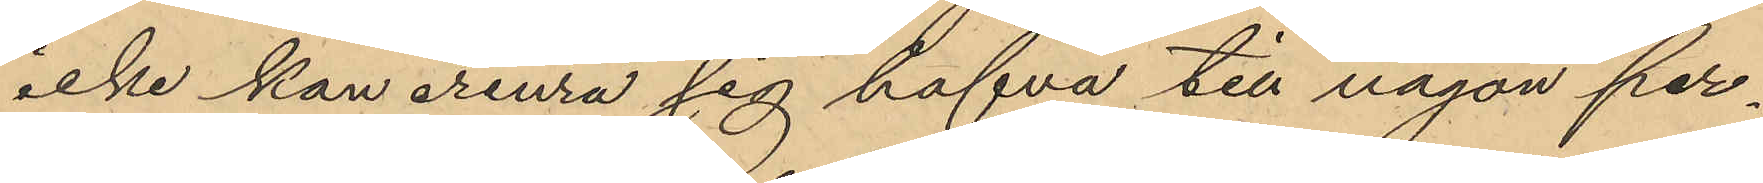icke kan erinra sig hafva till någon per¬
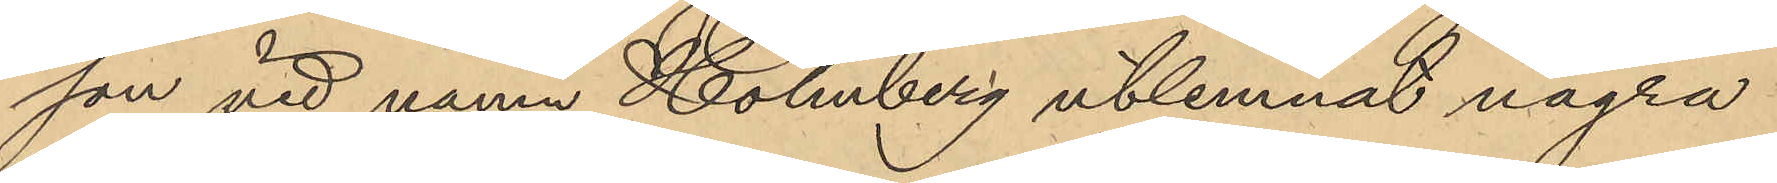son vid namn Holmberg utlemnat några
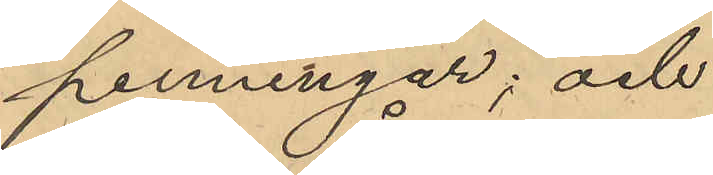penningar; och
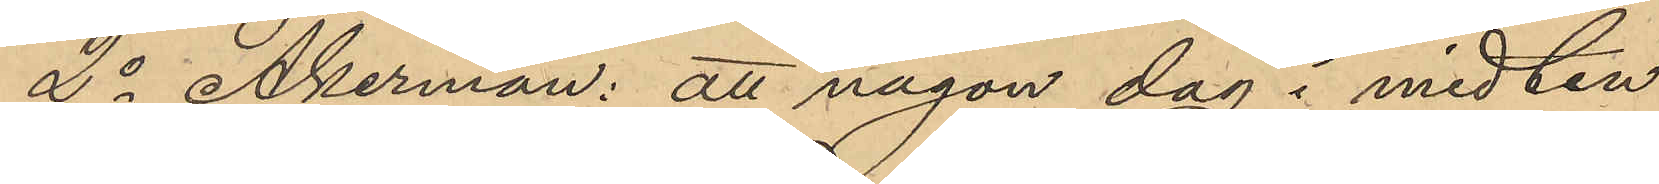2o Åkerman: att någon dag i midten
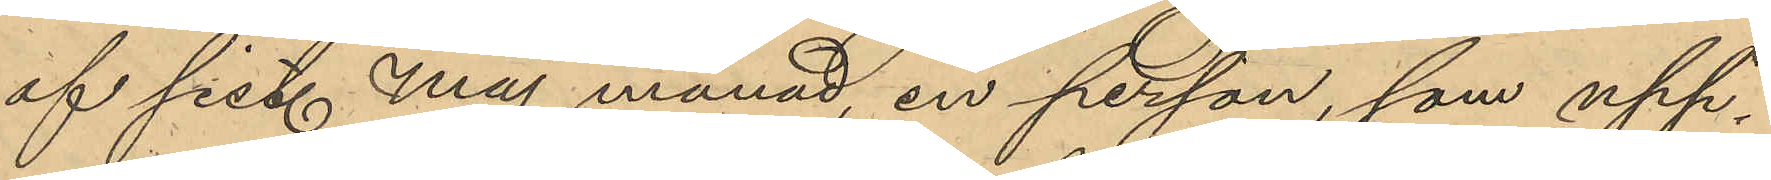af sist. Maj månad, en person, som upp¬
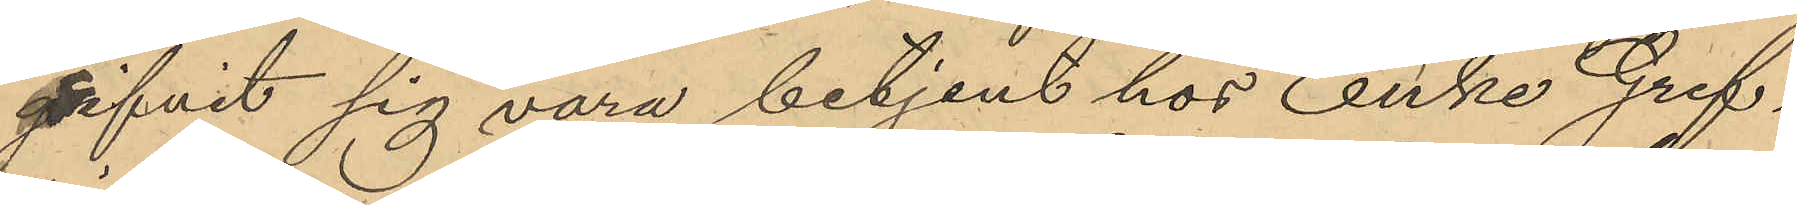gifvit sig vara betjent hos Enke Gref¬
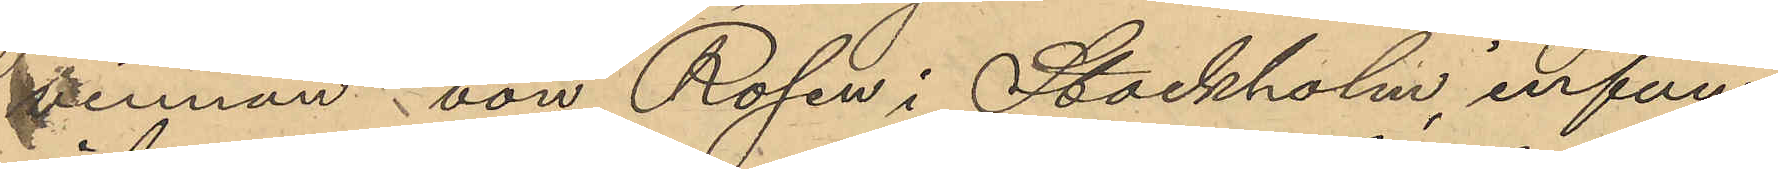vinnan von Rosen i Stockholm, infun¬
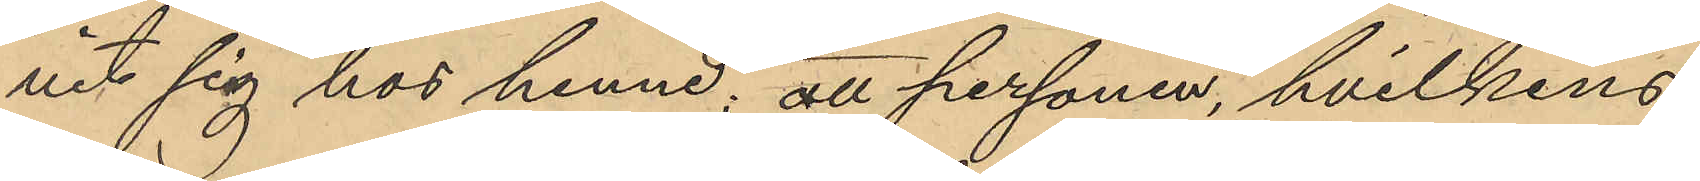nit sig hos henne; att personen, hvilkens
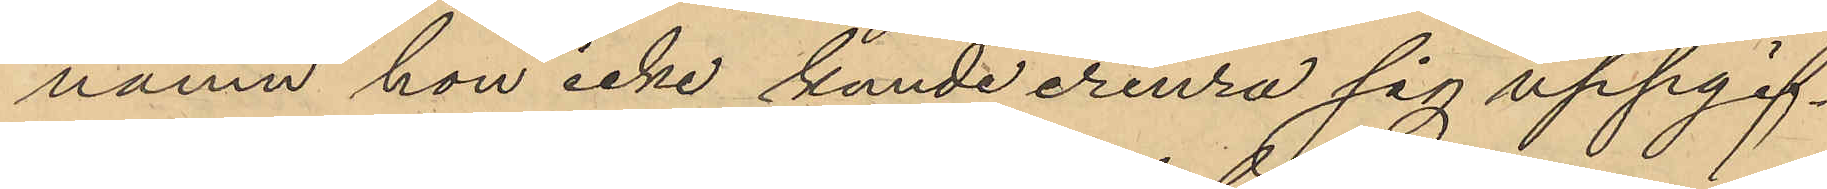namn hon icke kunde erinra sig uppgif¬
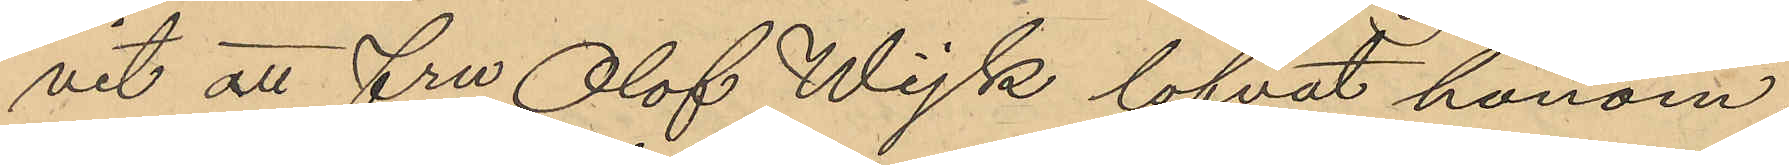vit att fru Olof Wijk lofvat honom
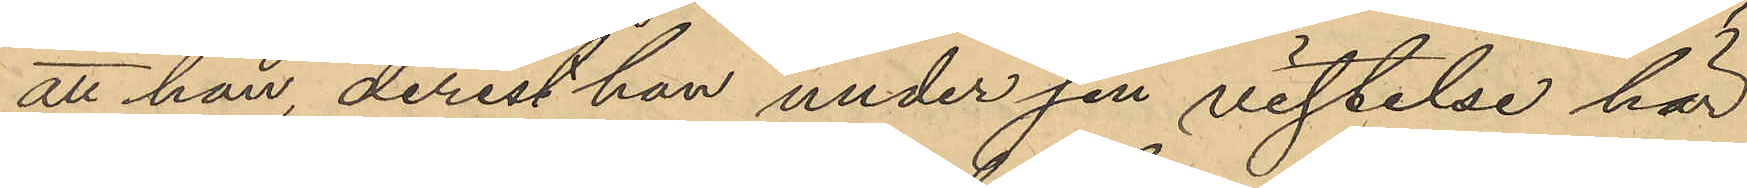att han, derest han under sin vistelse här
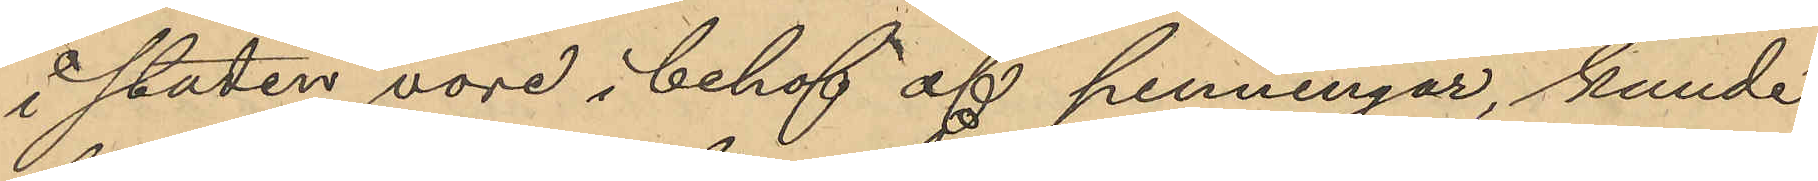i staden vore i behof af penningar, kunde
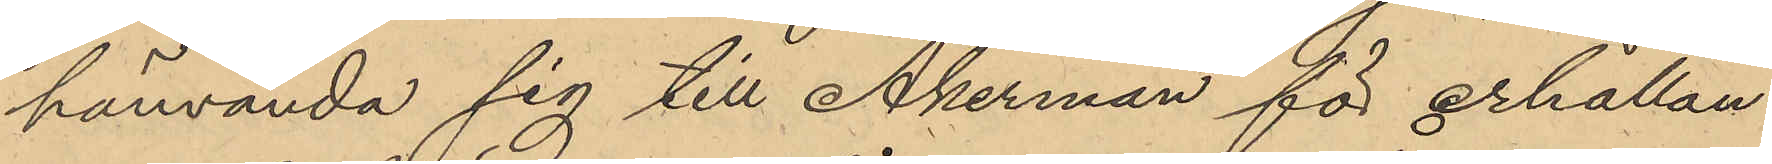hänvända sig till Åkerman för erhållan¬
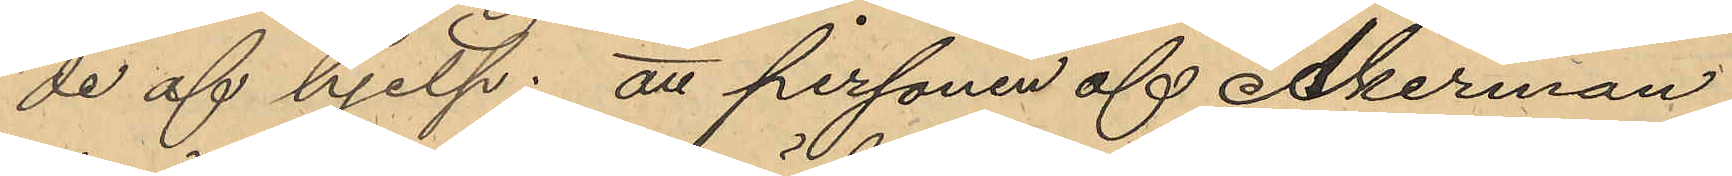de af hjelp: att personen af Åkerman
